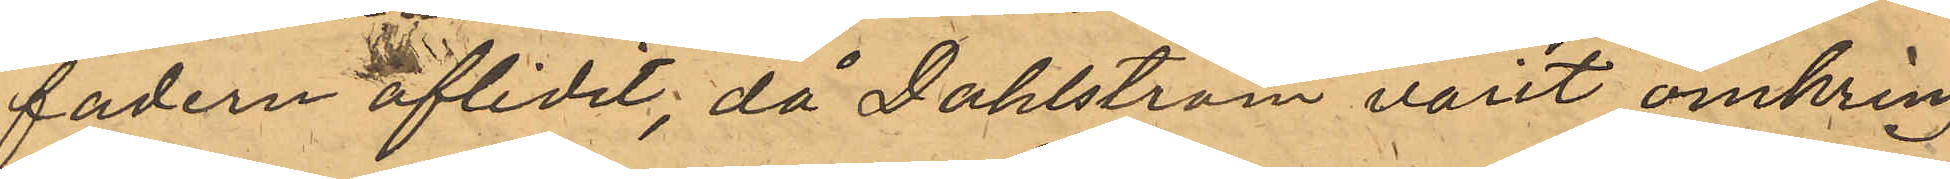fadern aflidit, då Dahlström varit omkring
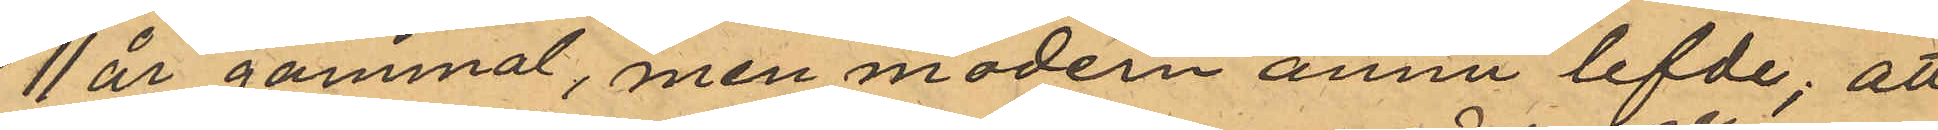11 år gammal, men modern annu lefde; att
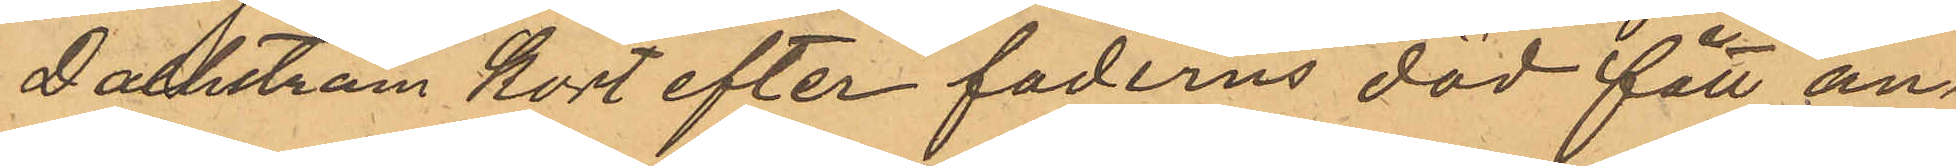Dahlström kort efter faderns död fått an¬
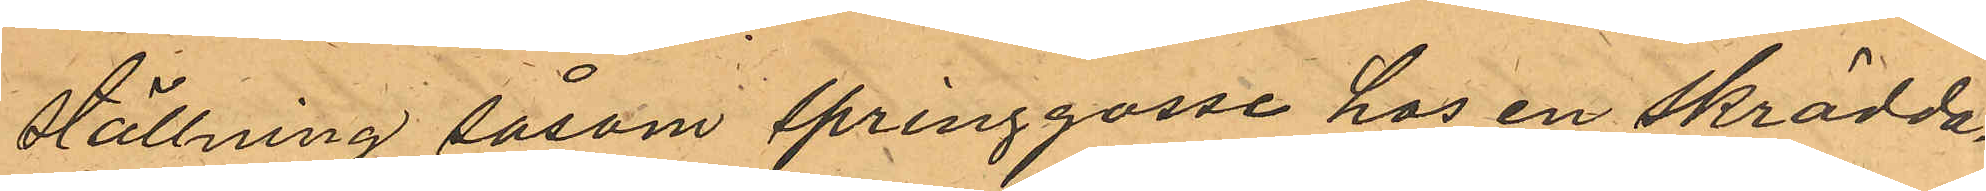ställning såsom springgosse hos en skrädda¬
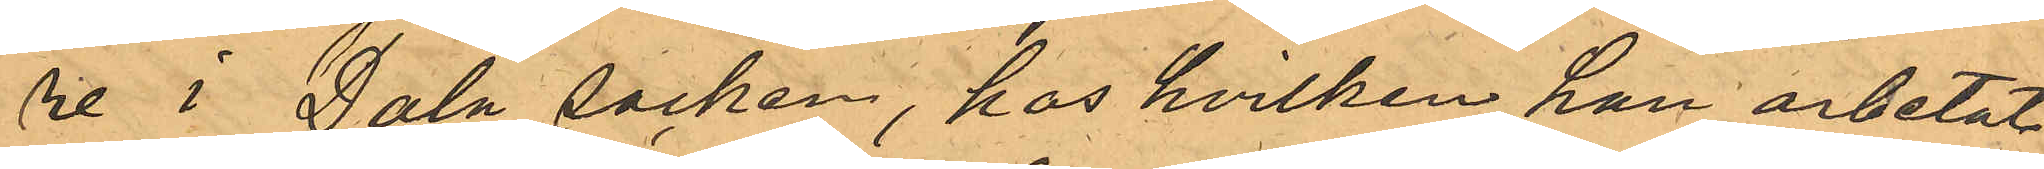re i Dala socken, hos hvilken han arbetat
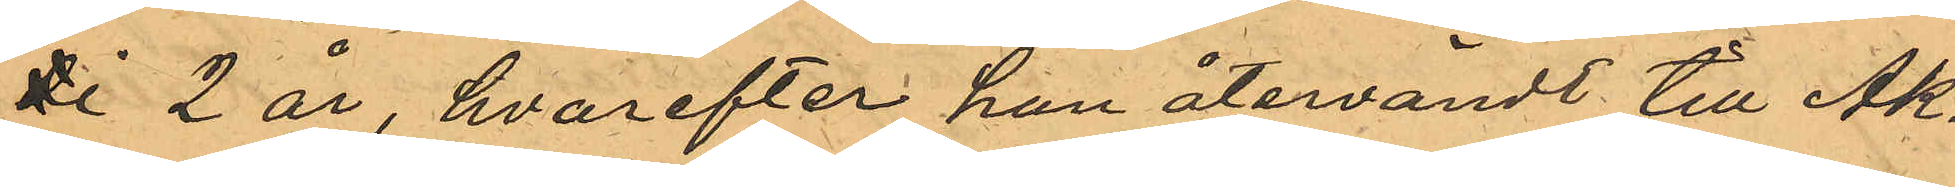ti 2 år, hvarefter han återvändt till Ak¬
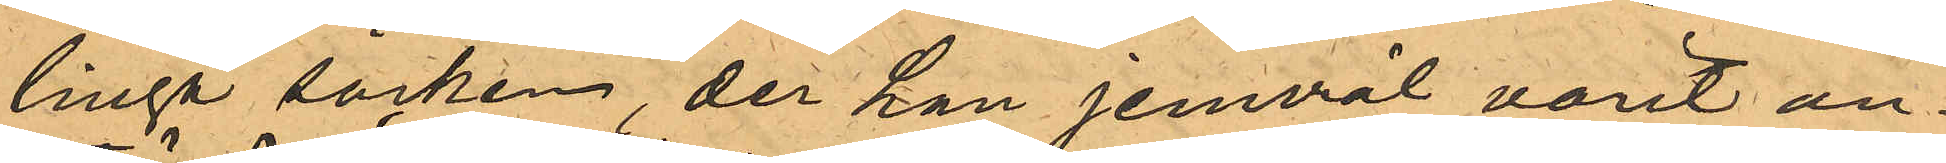linga socken, der han jemväl varit an¬
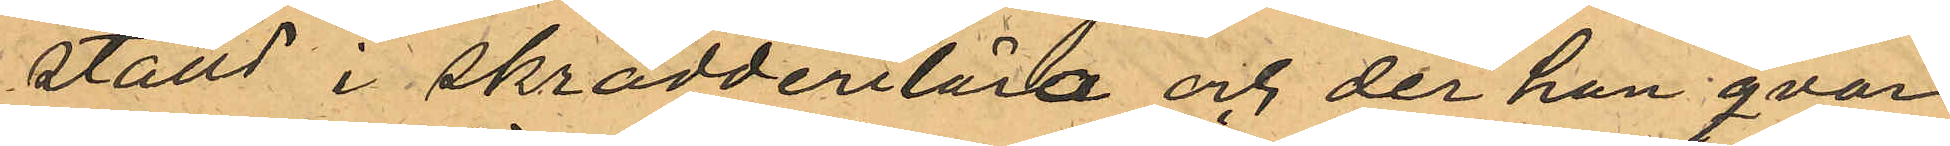ställd i skrädderilära och der han qvar¬
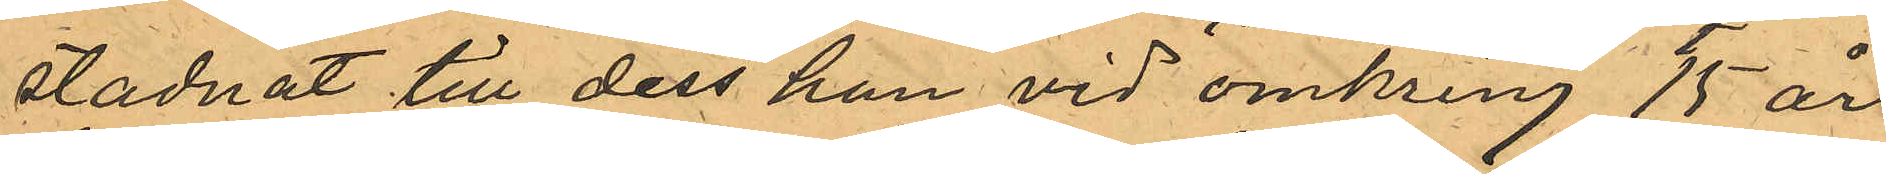stadnat till dess han vid omkring 15 års
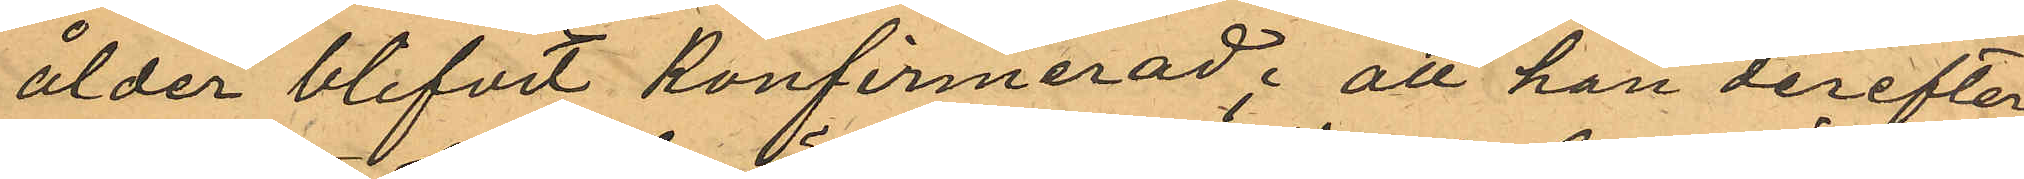ålder blifvit konfirmerad; att han derefter
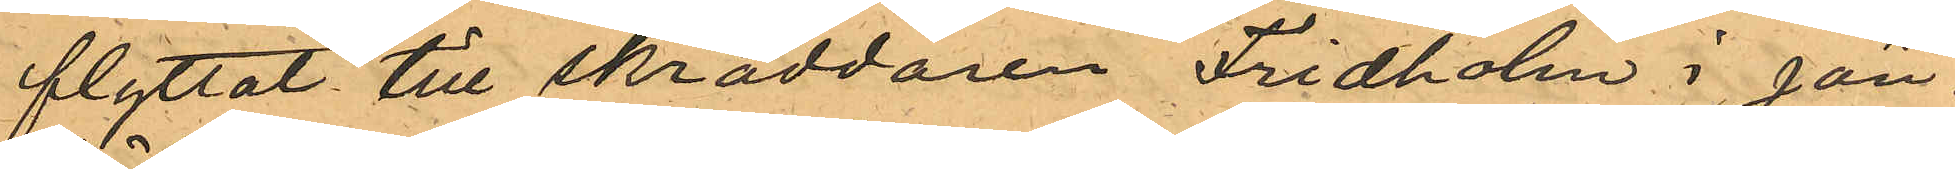flyttat till skräddaren Fridholm i Jön¬
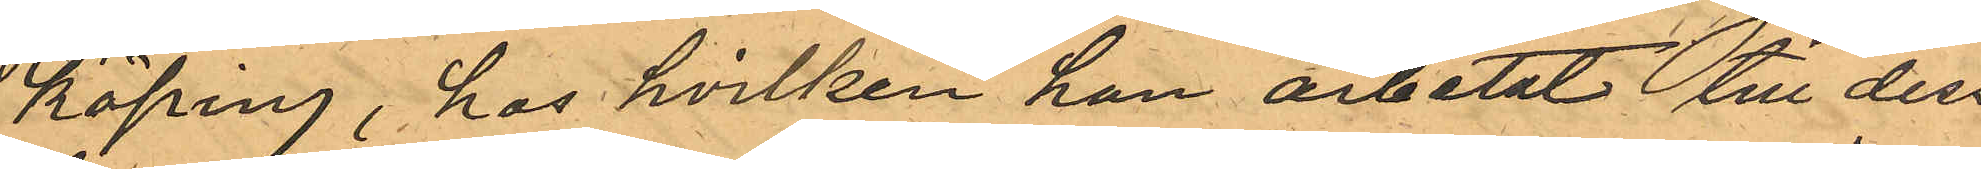köping, hos hvilken han arbetat till dess
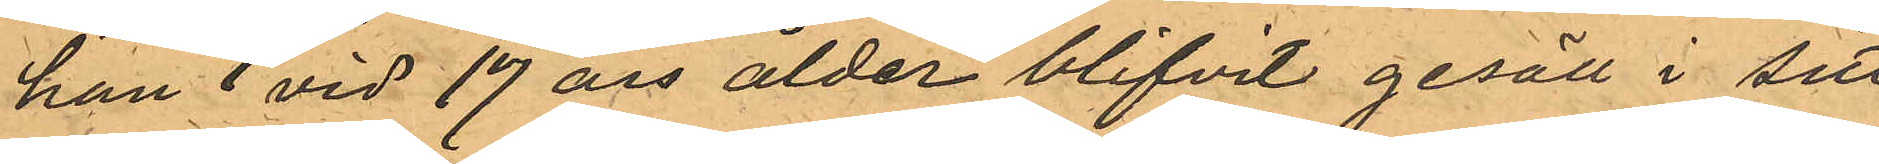han vid 17 års ålder blifvit gesäll i sitt
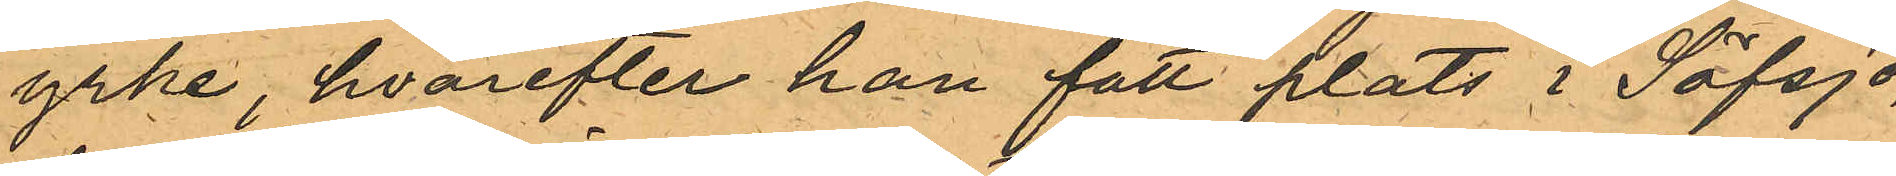yrke, hvarefter han fått plats i Säfsjö,
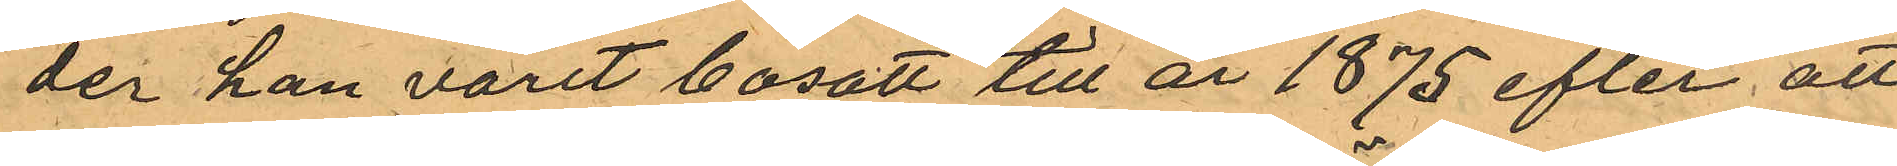der han varit bosatt till år 1875 efter att
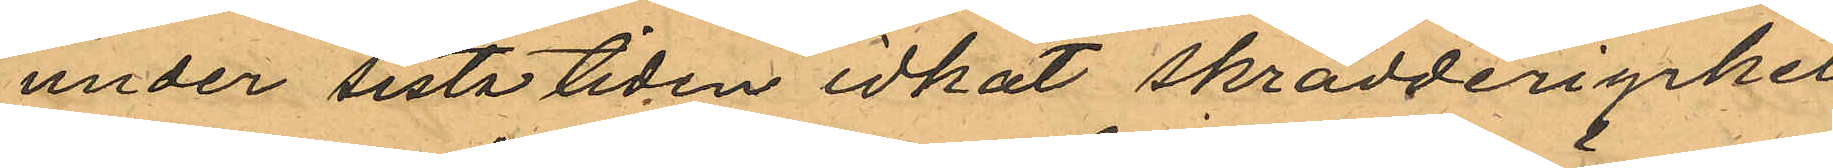under sista tiden idkat skrädderiyrket
